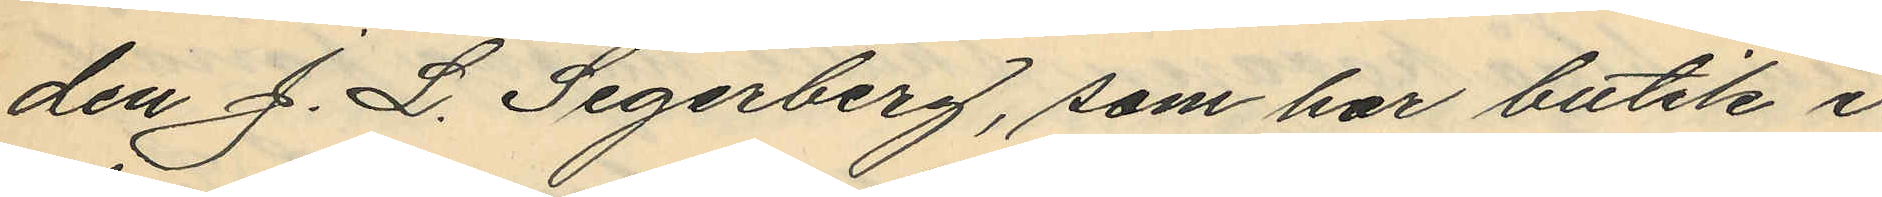den J. L. Segerberg, som har butik i
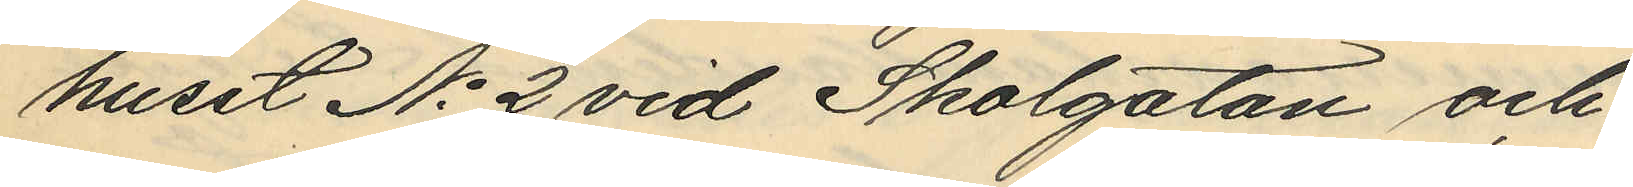huset No 2 vid Skolgatan och
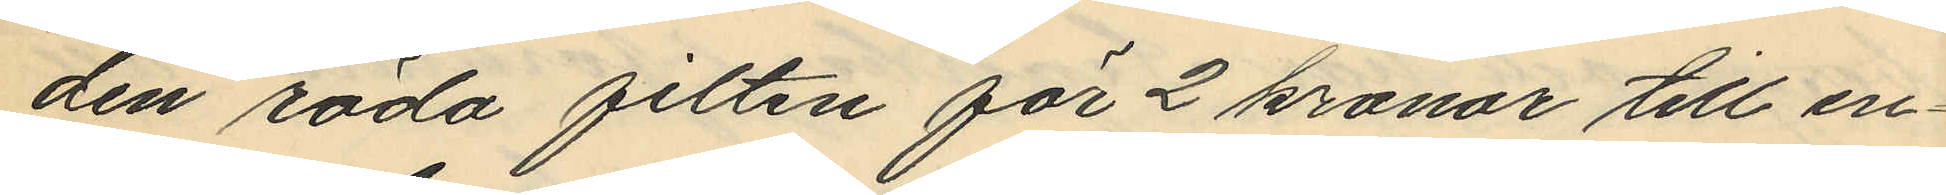den röda filten för 2 kronor till en¬
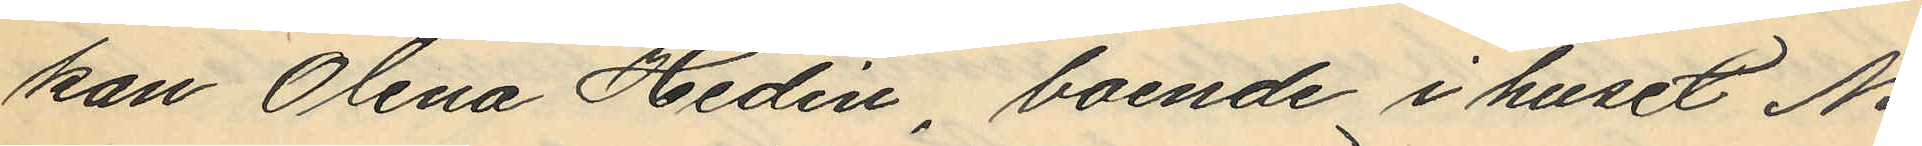kan Olena Hedin boende i huset No
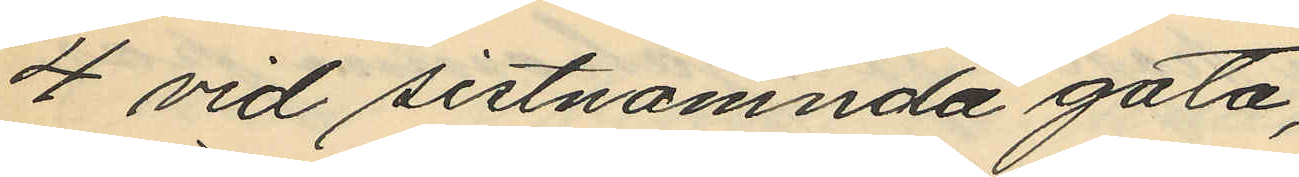4 vid sistnämnda gata;
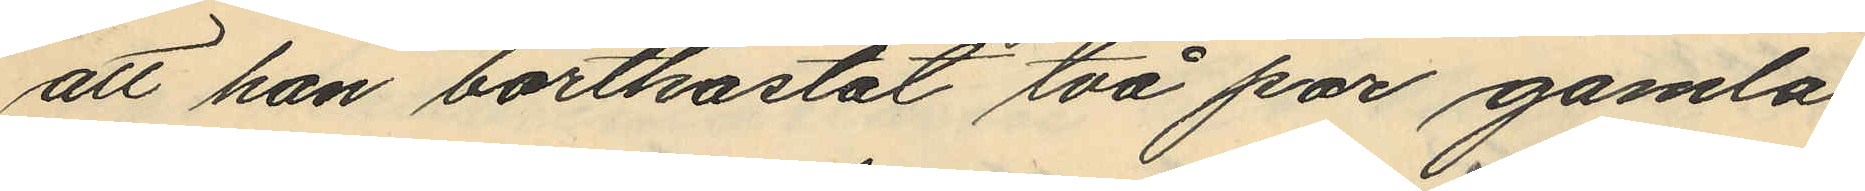att han bortkastat två par gamla
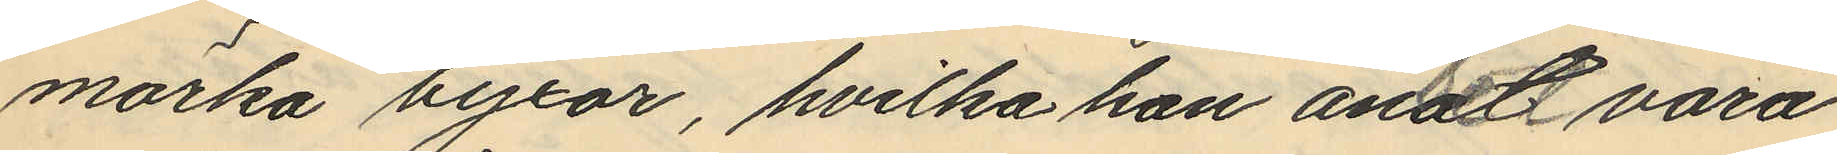märka byxor, hvilka han ansett vara
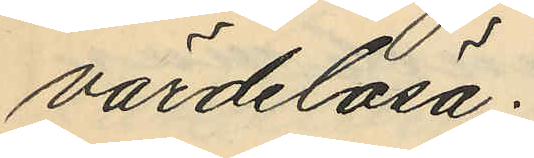värdelösa;
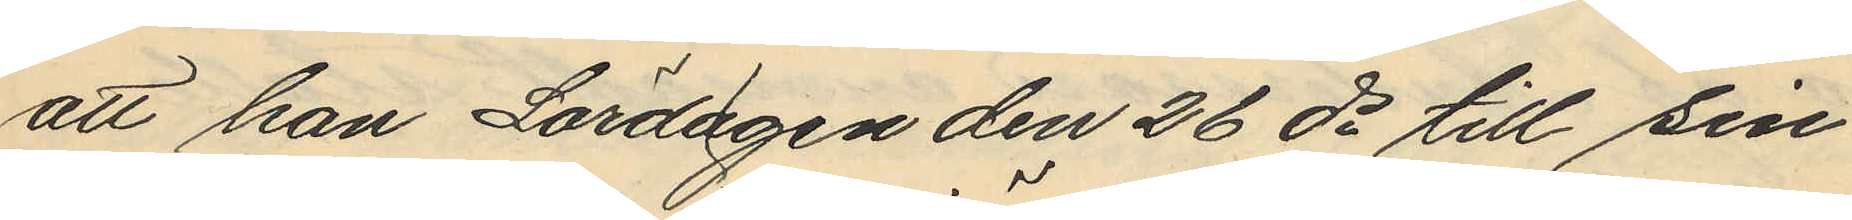att han Lördagen den 26 då till sin 
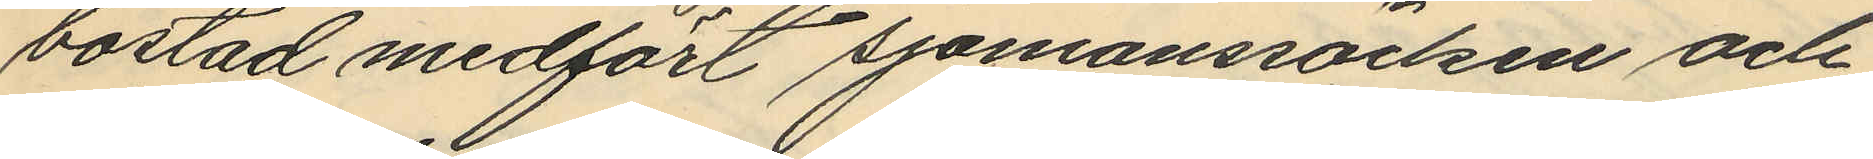bostad medfört sjömanssäcken och
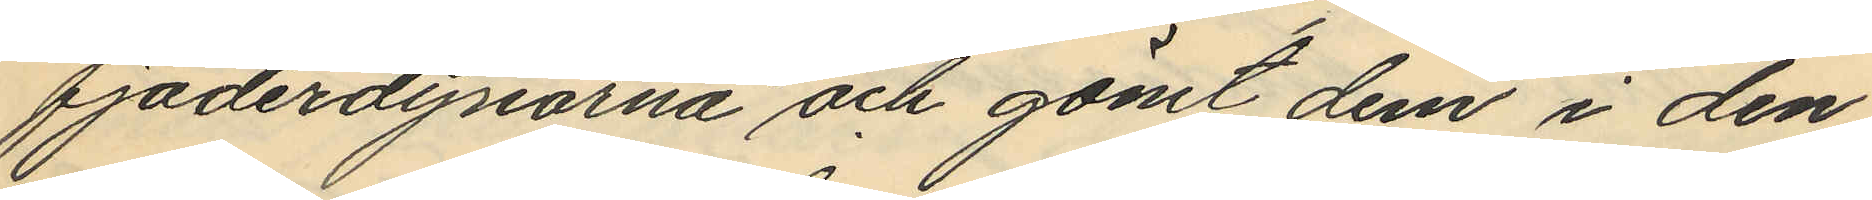fjäderdynorna och gömt dem i den
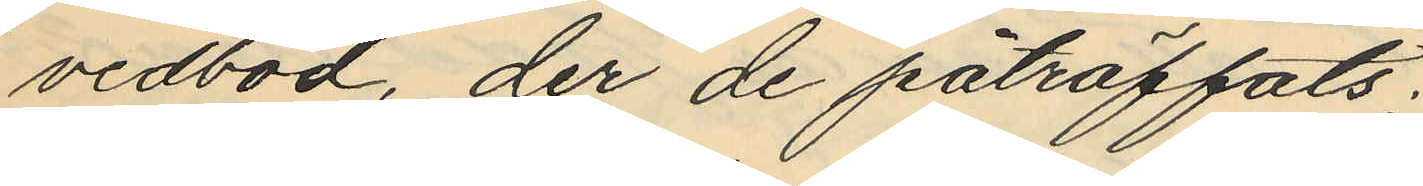vedbod, der de påträffats;
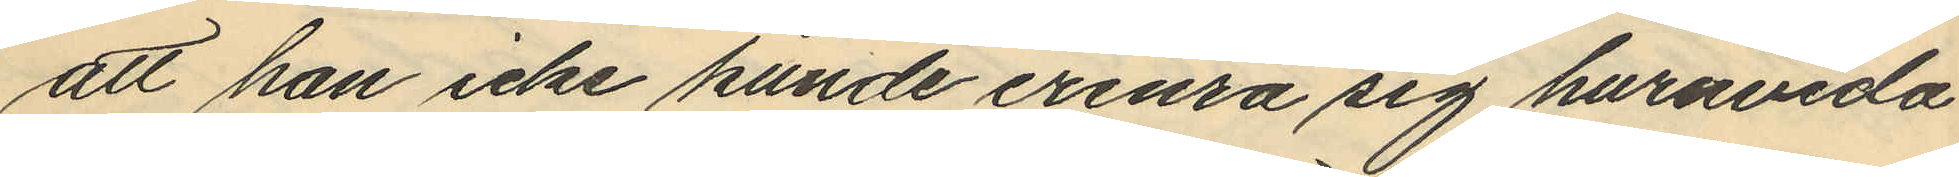att han icke kunde erinra sig huruvida
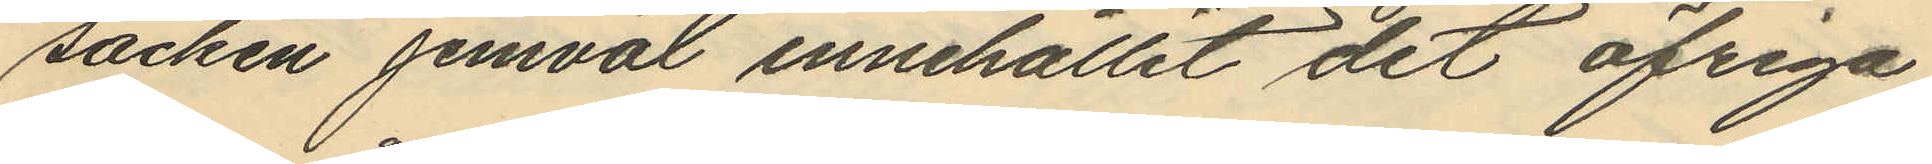säcken jemväl innehållit det öfriga
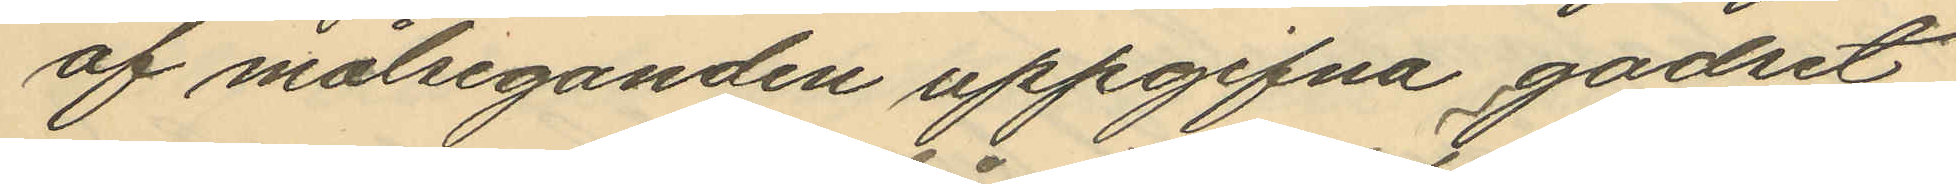af målseganden uppgifna godset
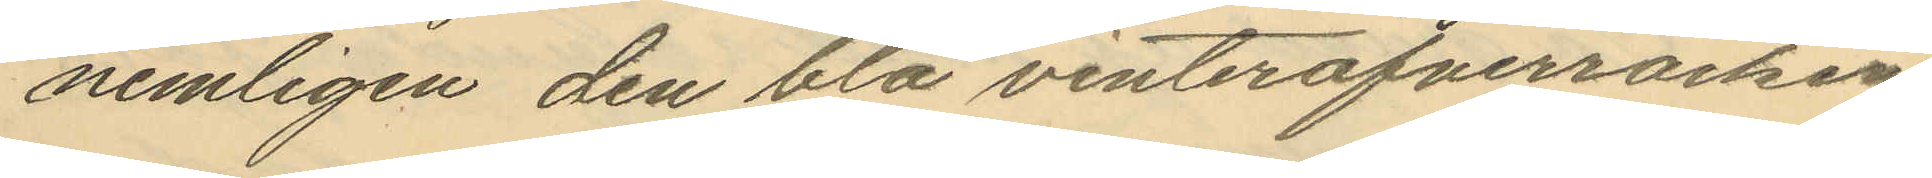nemligen den blå vinteröfverrocken,
